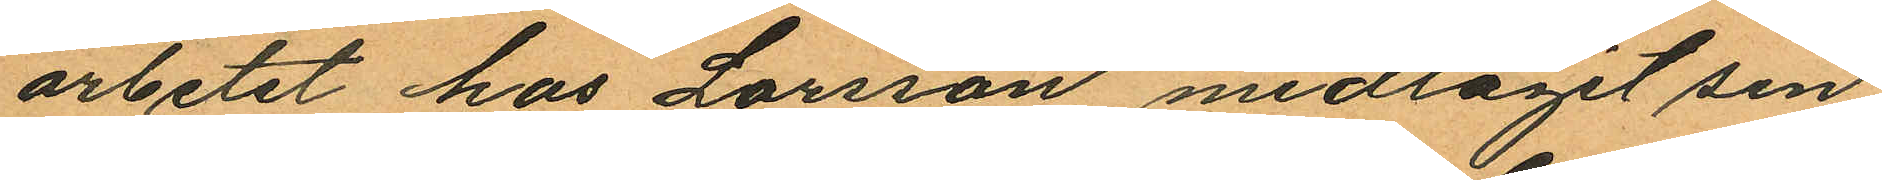arbetet hos Larsson medtagit sin
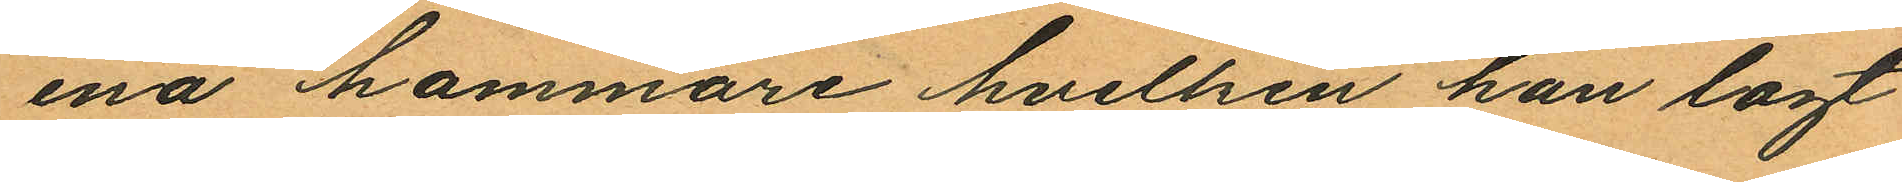ena hammare hvilken han lagt
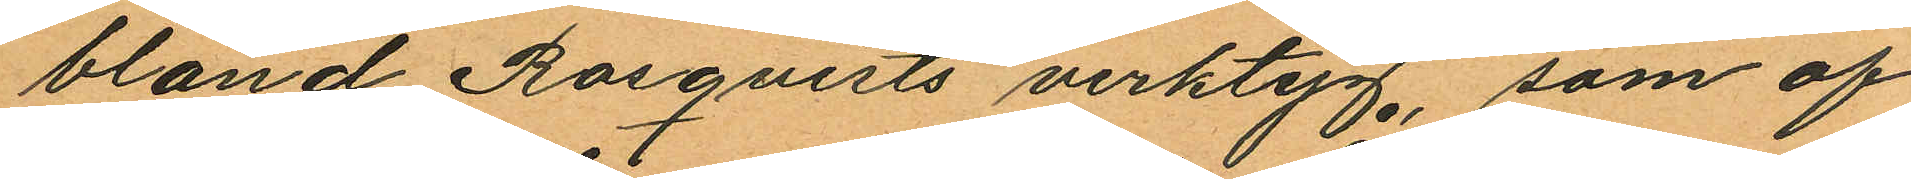bland Rosqvists verktyg, som af
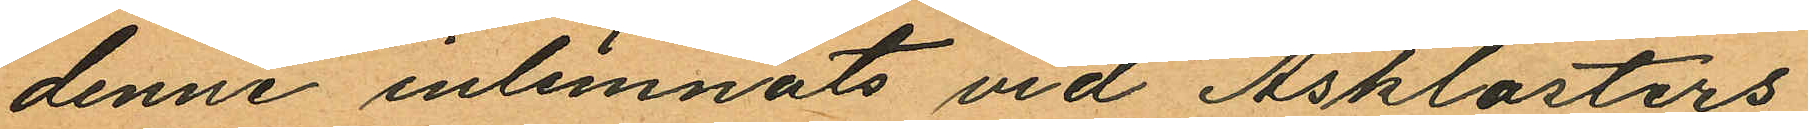denne inlemnats vid Åsklosters
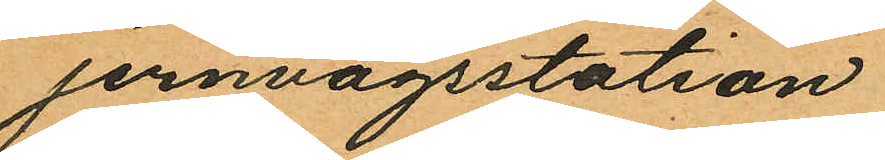jernvägsstation
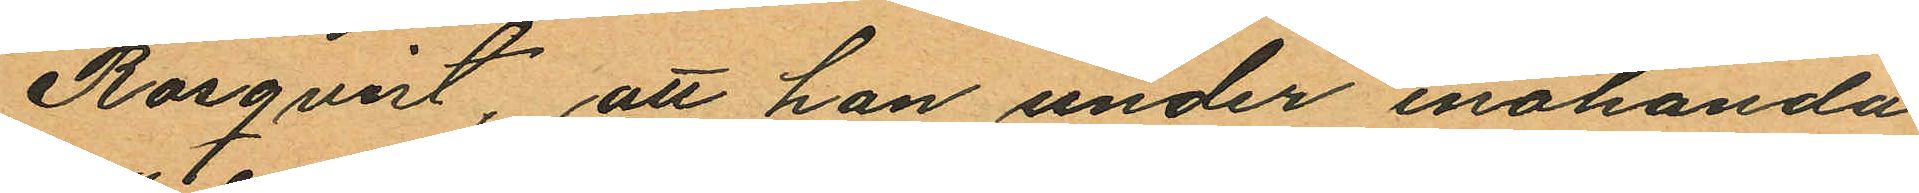Rosqvist, att han under enahanda
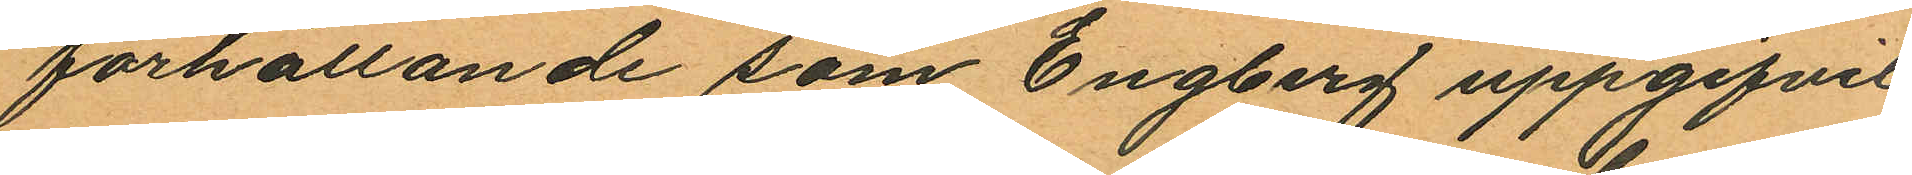förhållande som Engberg uppgifvit,
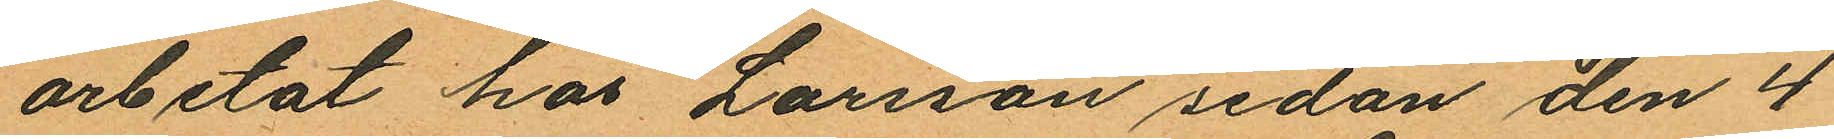arbetat hos Larsson sedan den 4
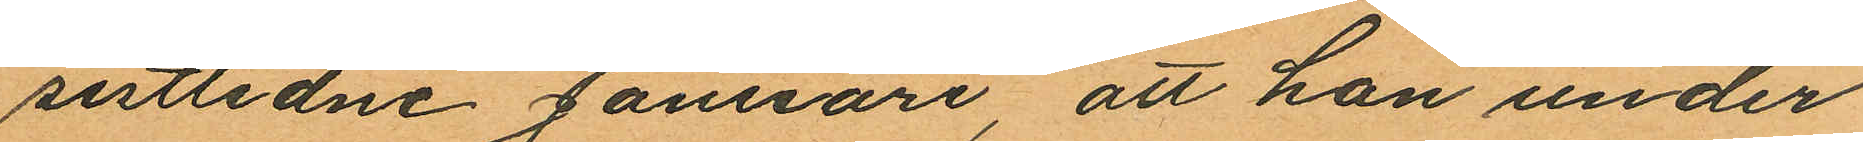sistlidne Januari, att han under
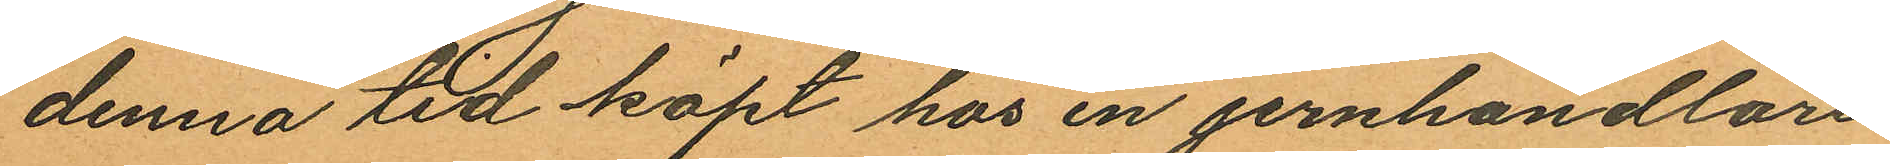denna tid köpt hos en jernhandlare
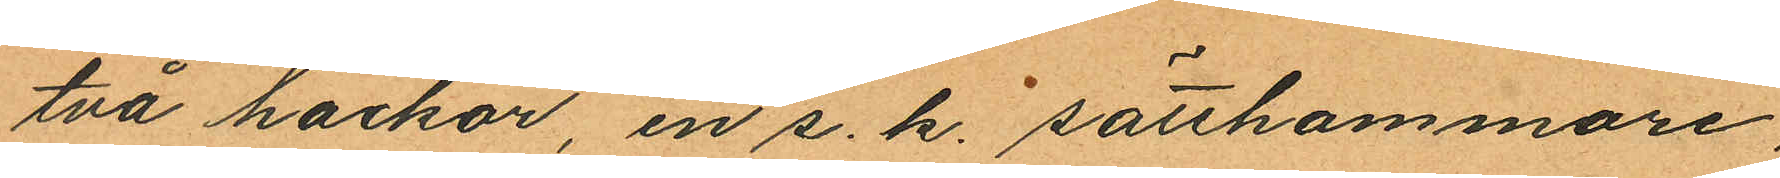två hackor, en s. k. sätthammare,
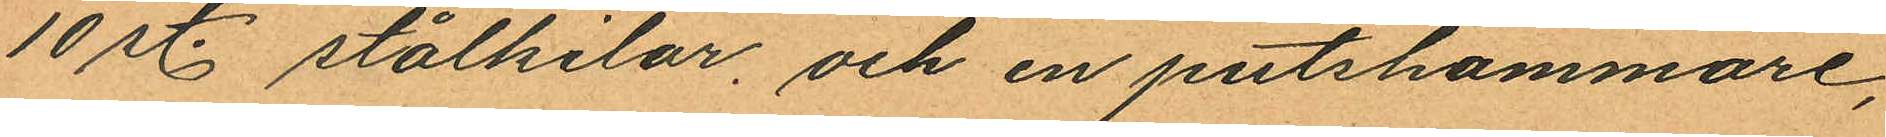10 st. stålkilar, och en putshammare,
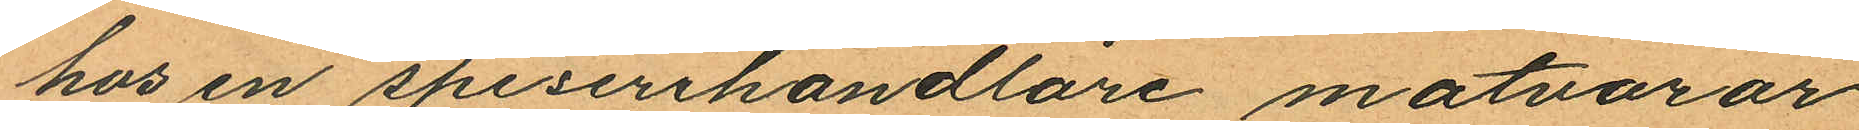hos en speserihandlare matvaror
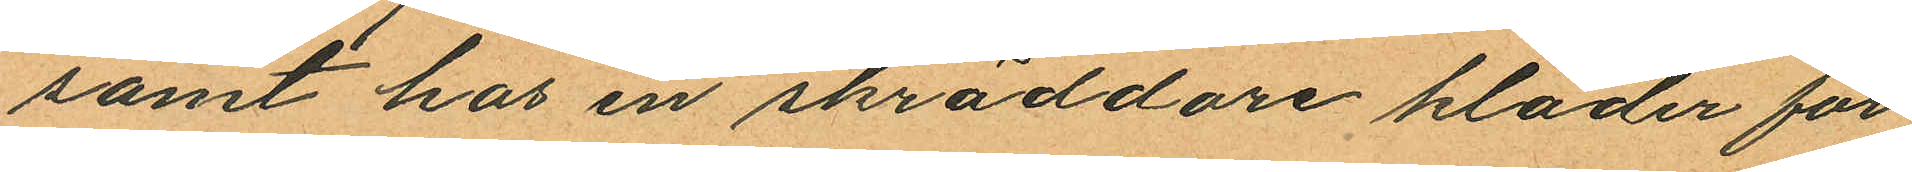samt hos en skräddare kläder för
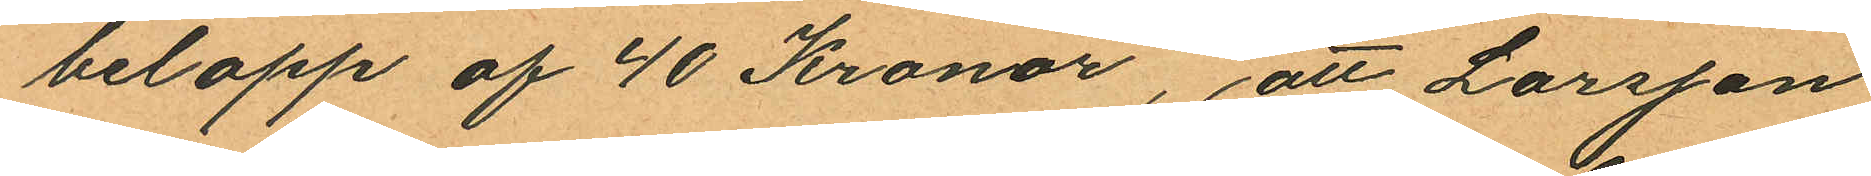belopp af 40 Kronor, att Larsson
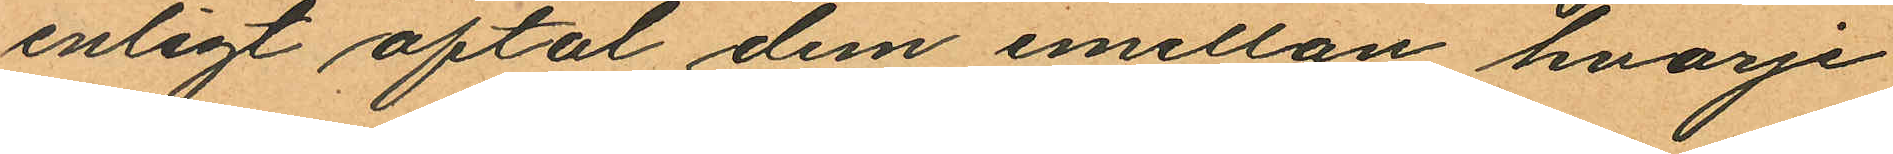enligt aftal dem emellan hvarje
